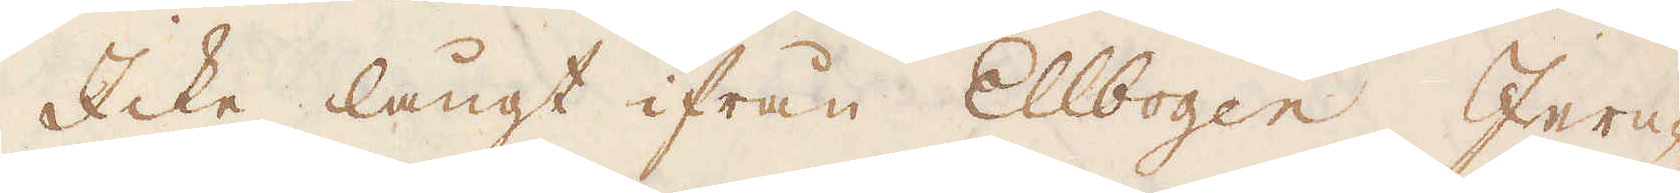Icke långt ifrån Ellbogen Jern-
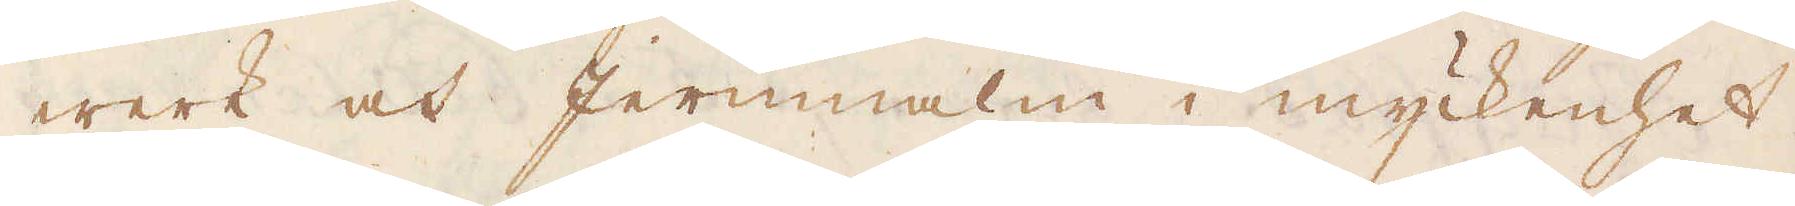werk och jernmalm i myckenhet.
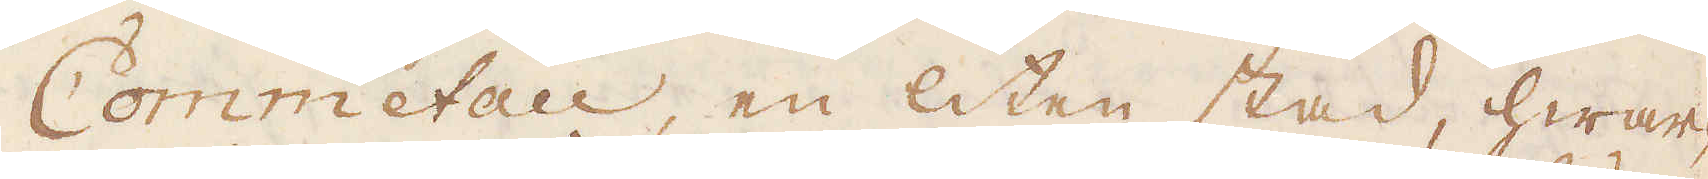Commetau, en liten stad, hwar-
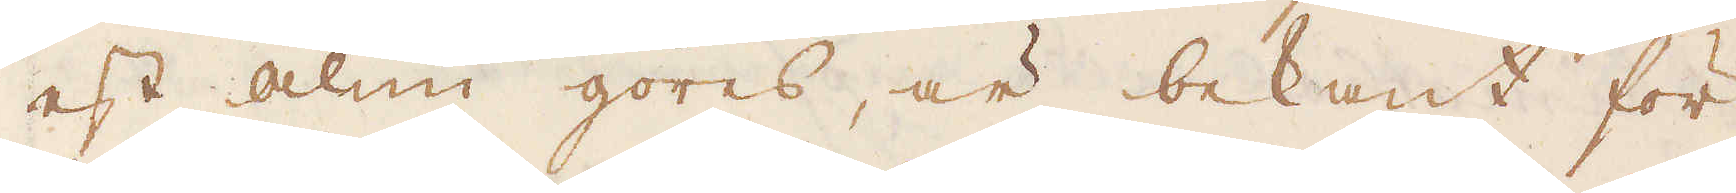est alun göres, är bekant för
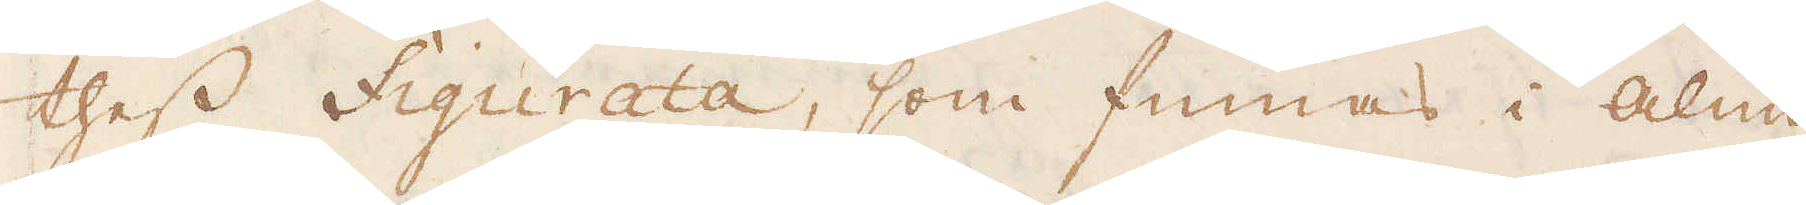thess figurata, som finnas i Alun-
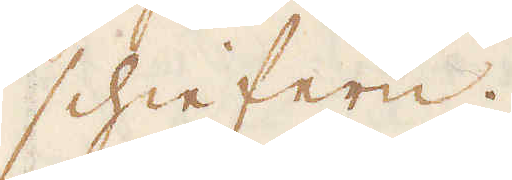schiefern.
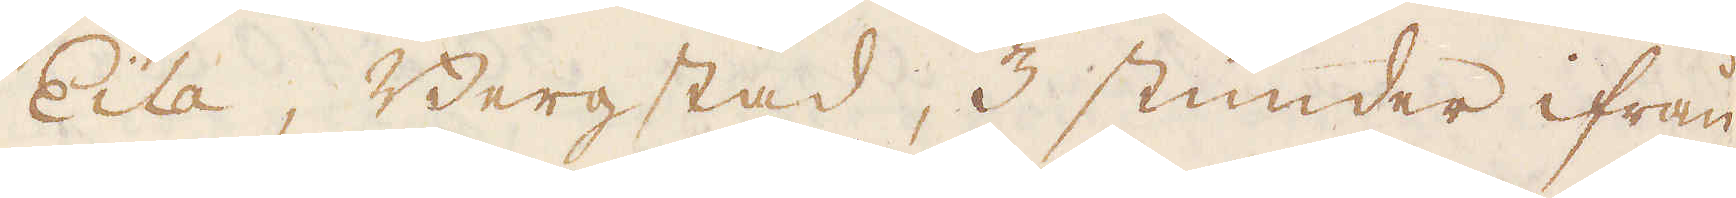Eila, Bergstad, 3 stunder ifrån
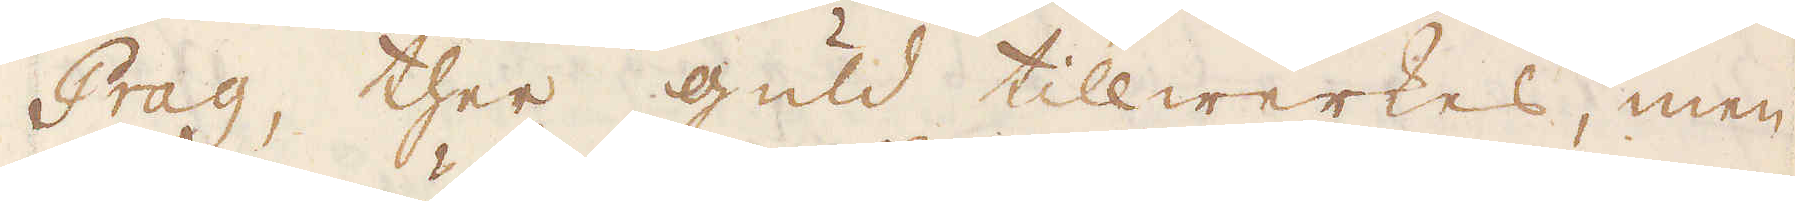Prag, ther guld tillwerkes, men
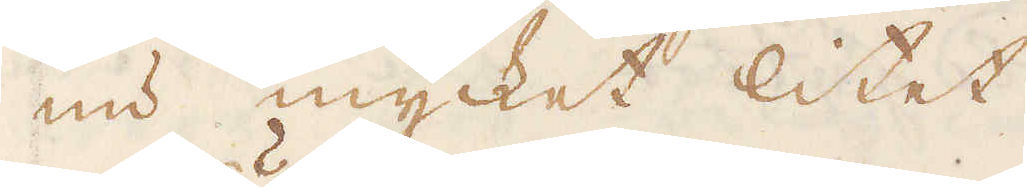nu mycket litet
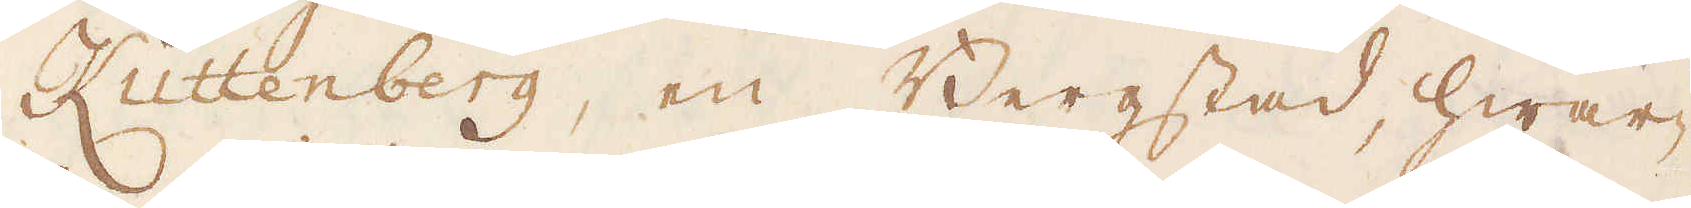Kuttenberg, en Bergstad, hwar-
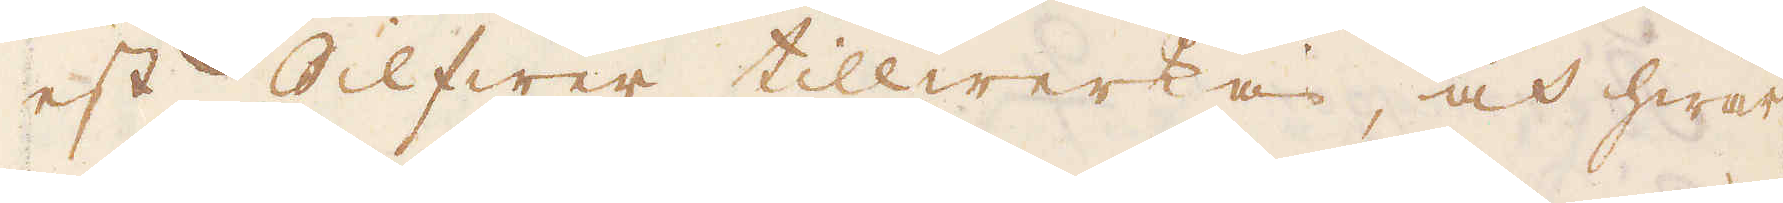est Silfwer tillwerkas, och hwar
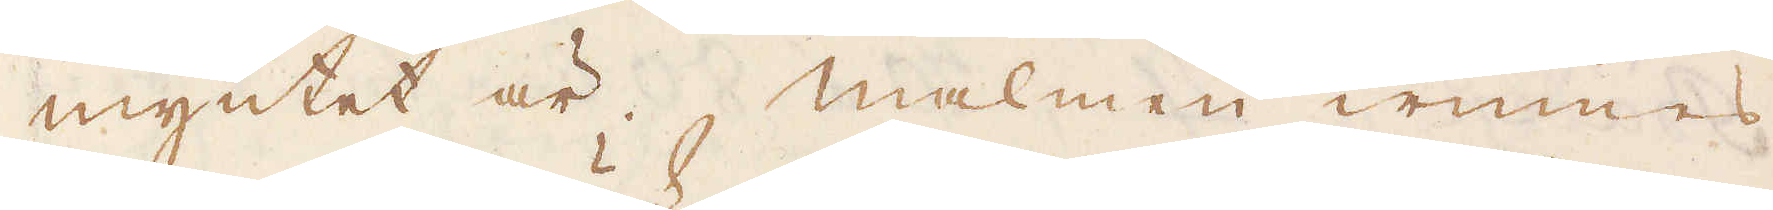myntet är. Malmen winnes
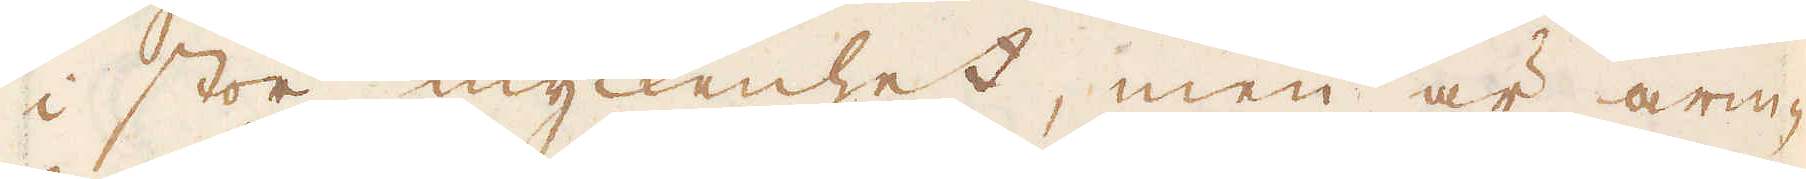i stor myckenhet, men är arm-
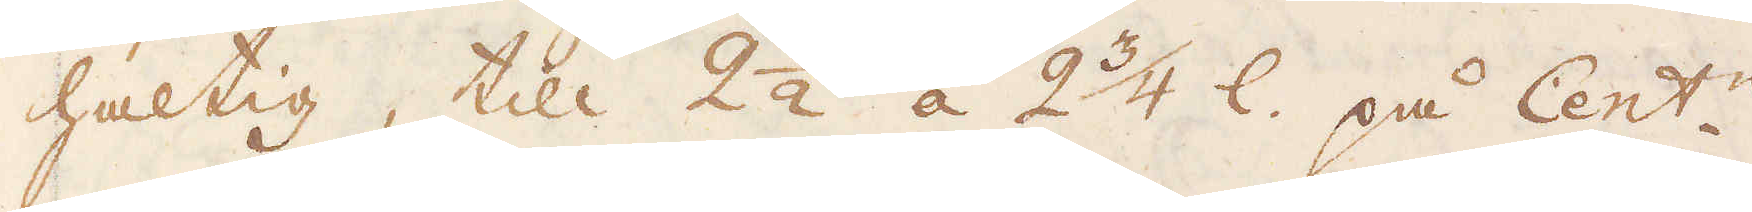haltig, till 2 1/2 á 2 3/4 l. på Cent:n.
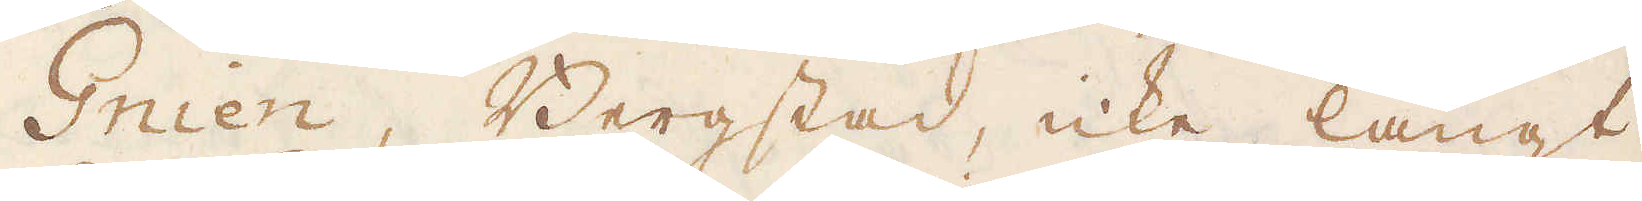Gnien, Bergstad, icke långt
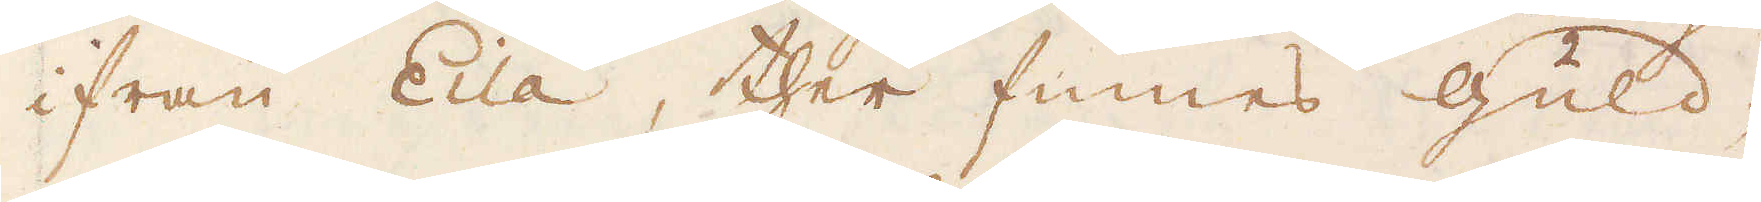ifrån Eila, ther finnes Guld-
